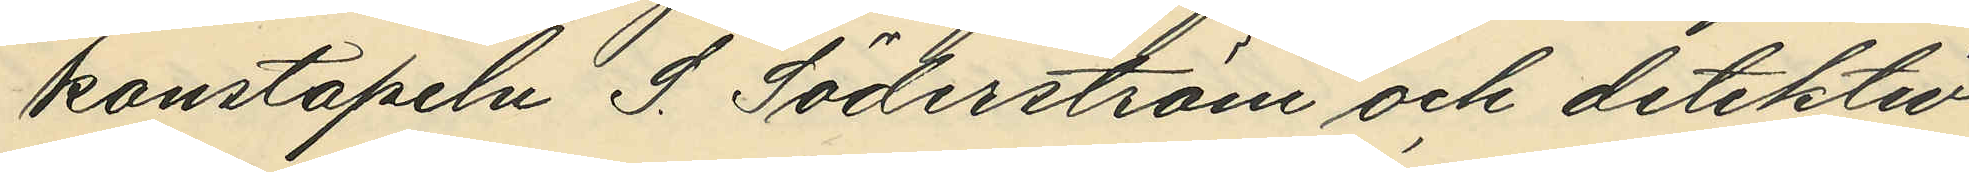konstapeln S. Söderström och detektiv¬
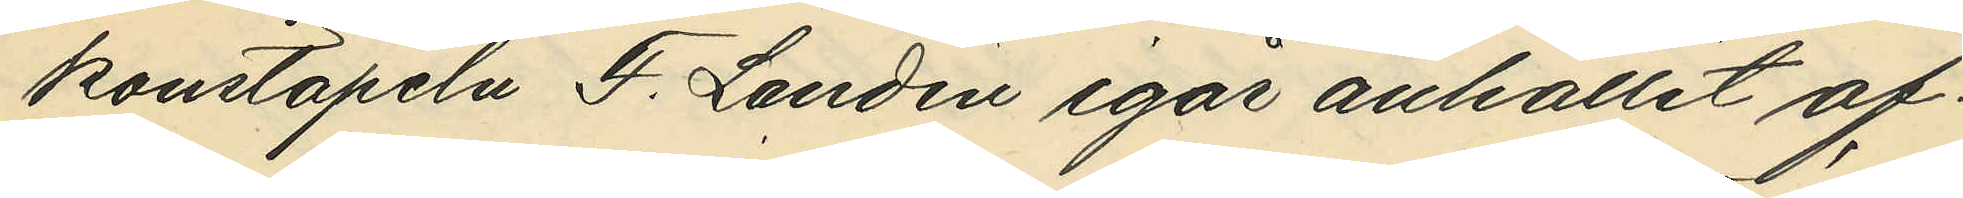konstapeln F. Landin igår anhållit of¬
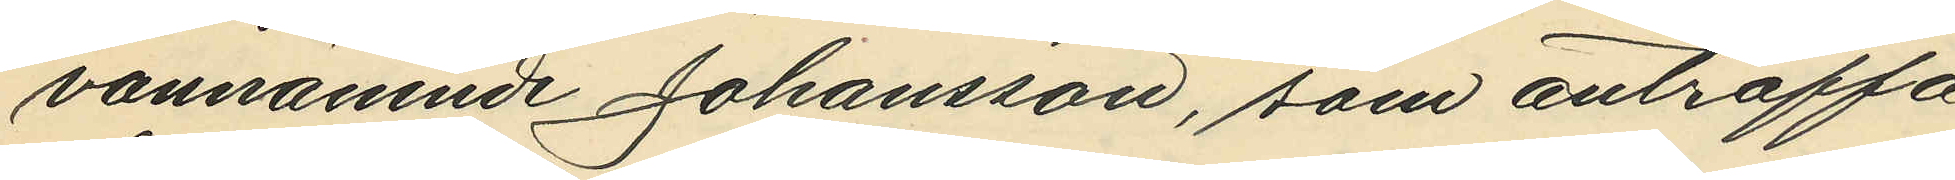vannämnde Johansson, som anträffa¬
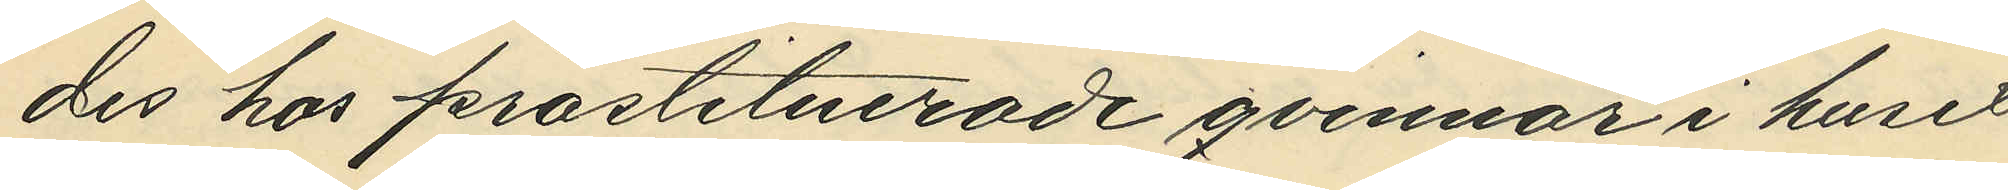des hos prostituerade qvinnor i huset
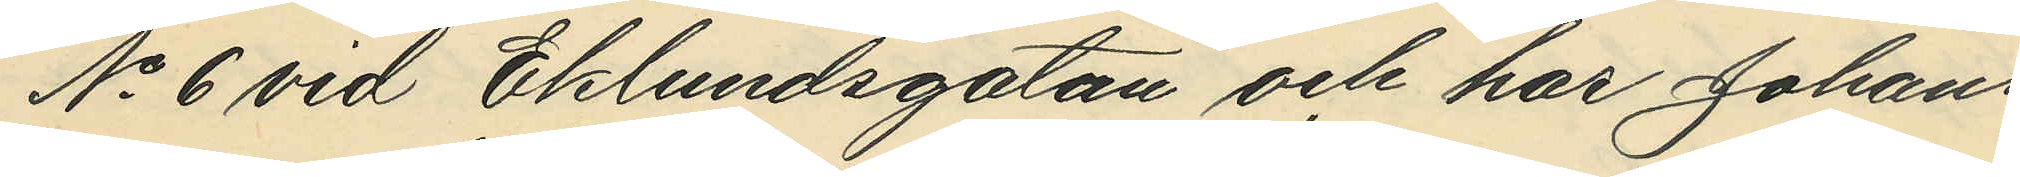No 6 vid Eklundsgatan och har Johans¬
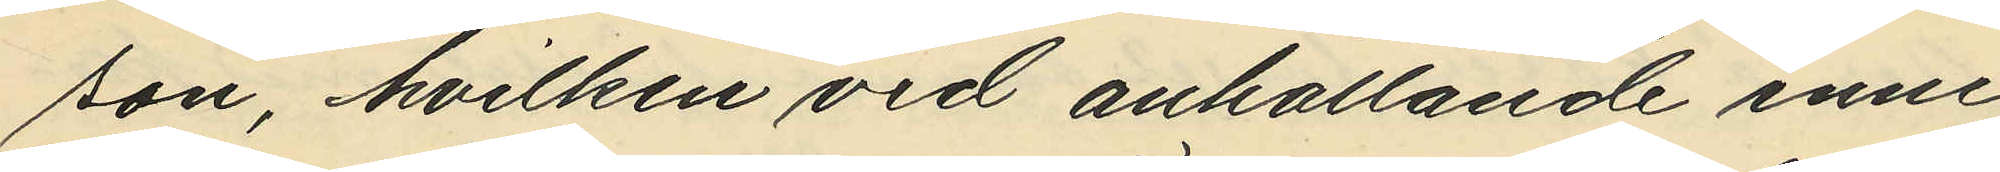son, hvilken vid anhållande inne¬
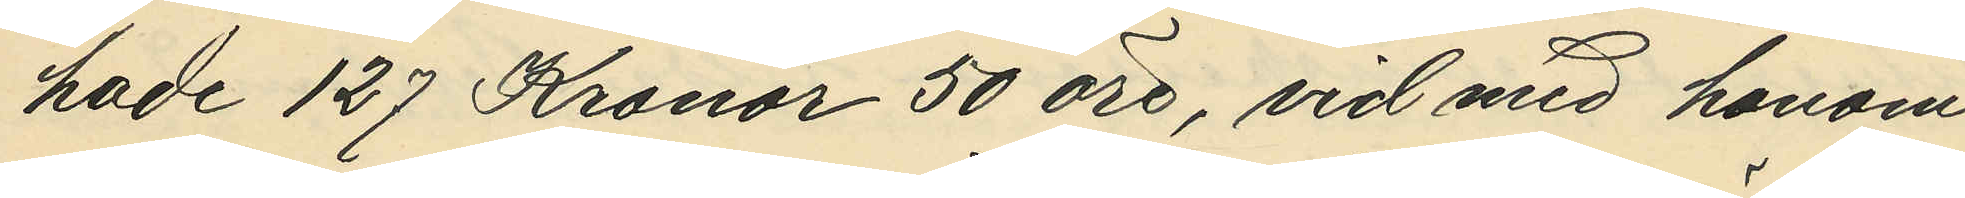hade 127 Kronor 50 öre, vid med honom
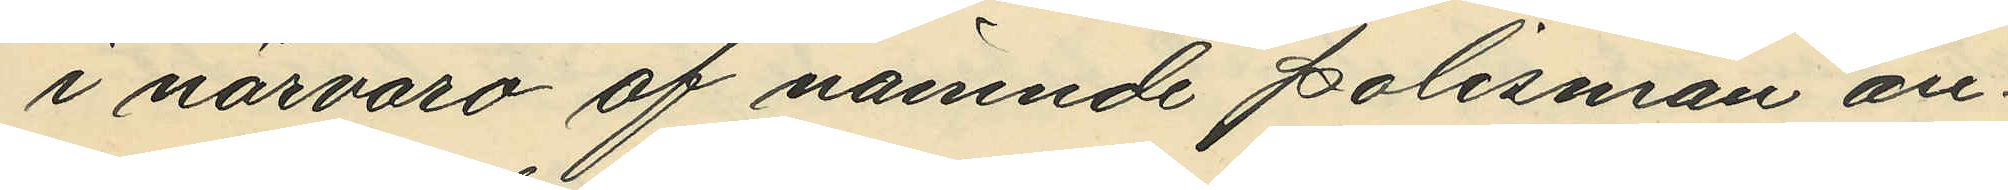i närvaro af nämnde polismän an¬
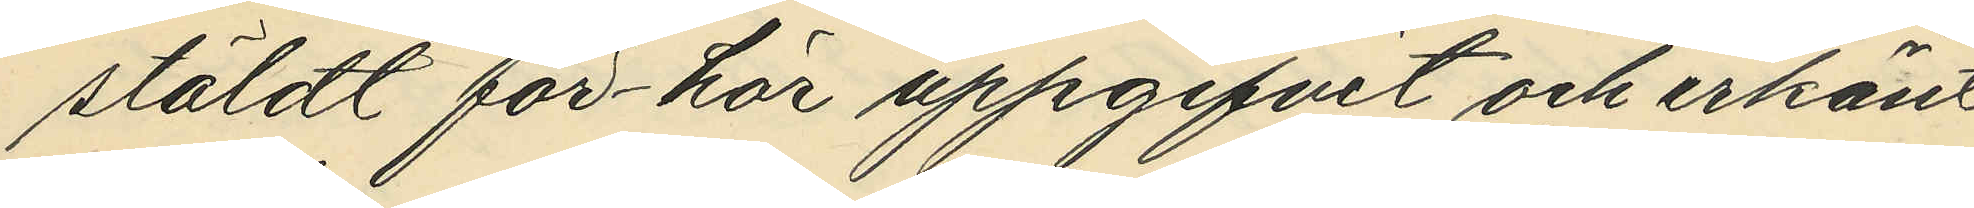stäldt för-hör uppgifvit och erkänt
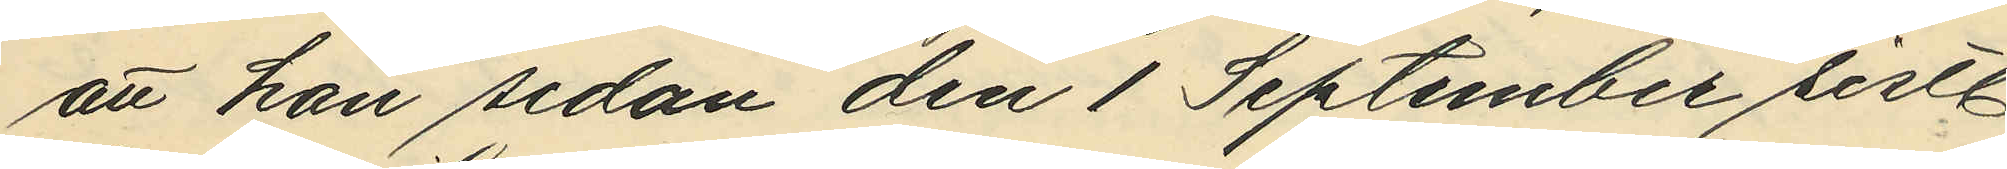att han sedan den 1 September sistl.
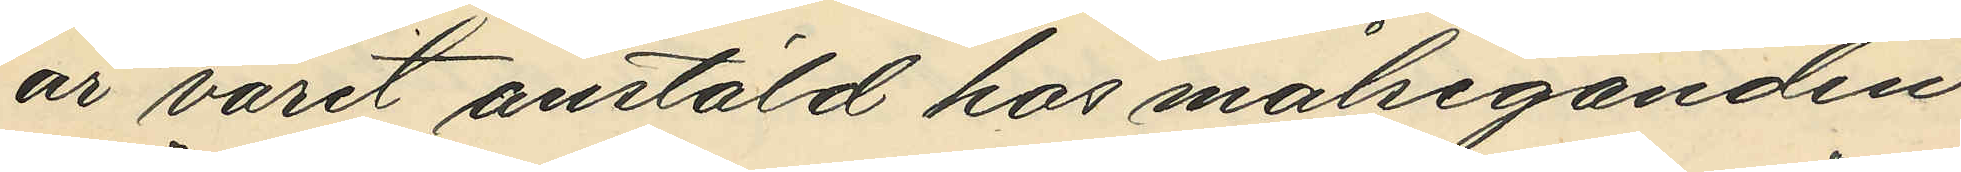år varit anstäld hos målseganden
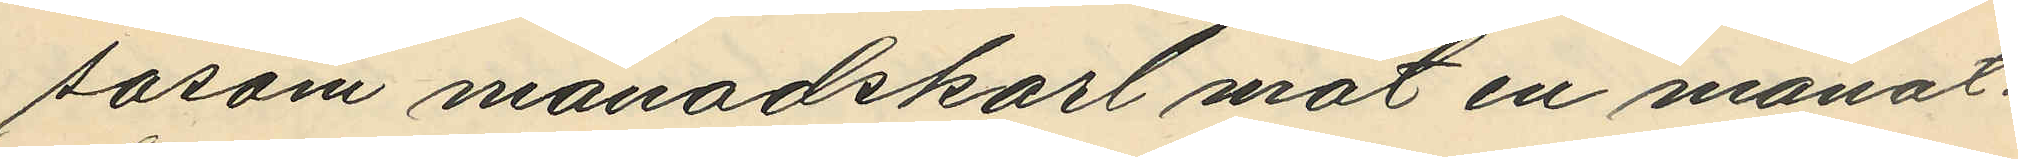såsom månadskarl mot en månat¬
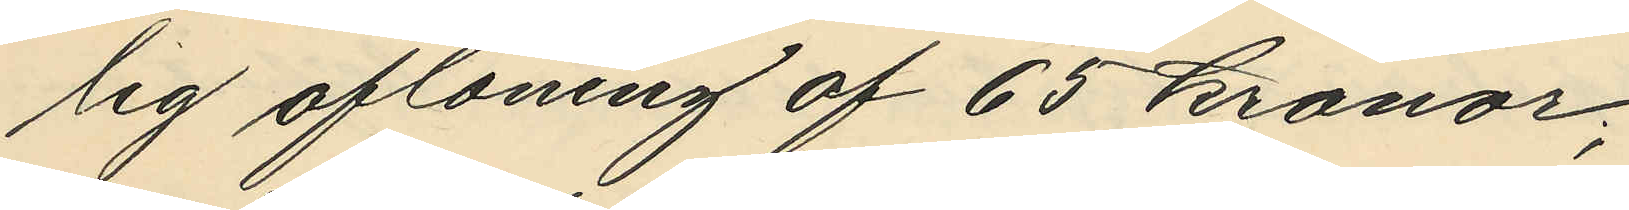lig aflöning af 65 kronor;
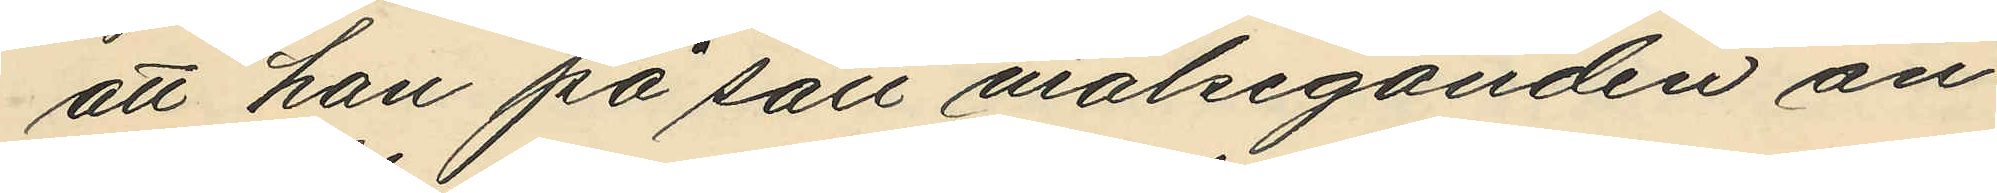att han på sätt målseganden an¬
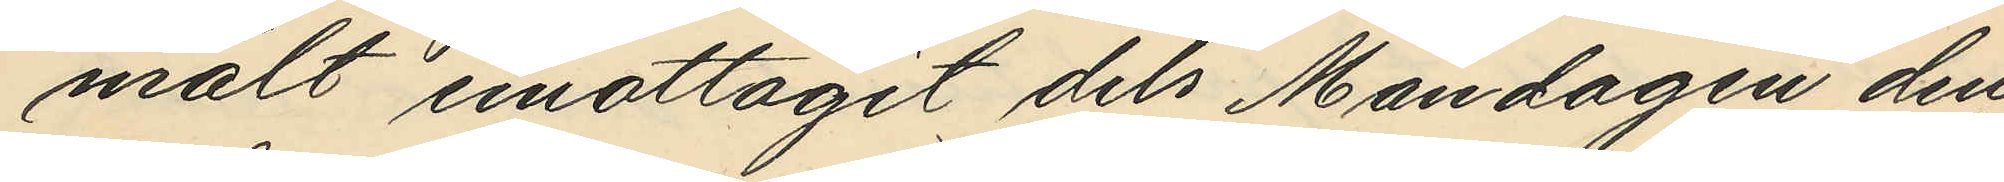mält emottagit dels Måndagen den
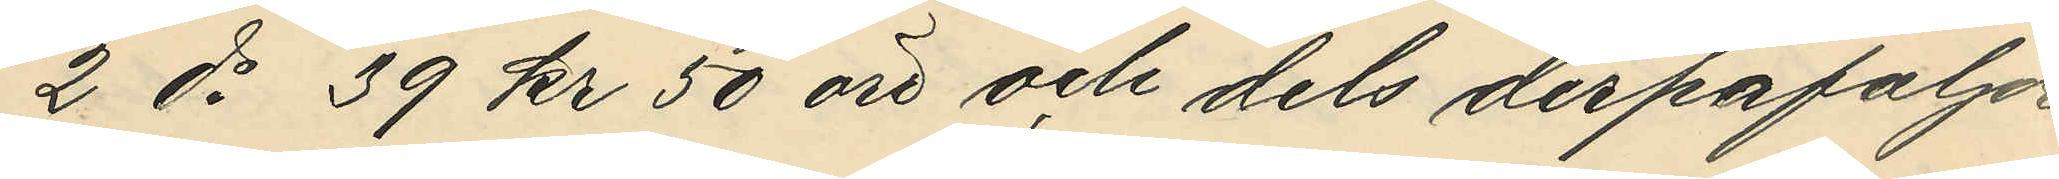2 ds 39 kr 50 öre och dels derpåföljde
